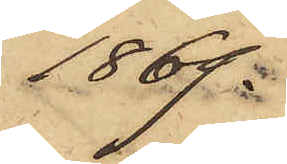1869.
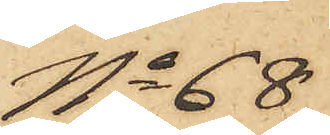No 68
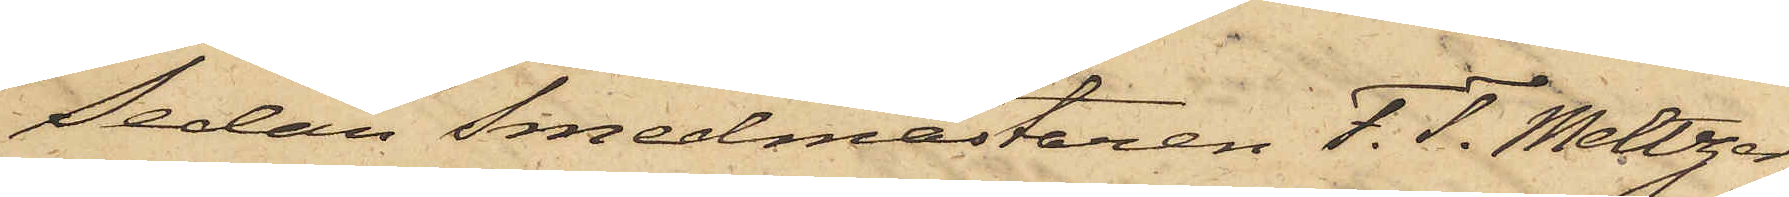Sedan Smedmästaren F. T. Meltzer
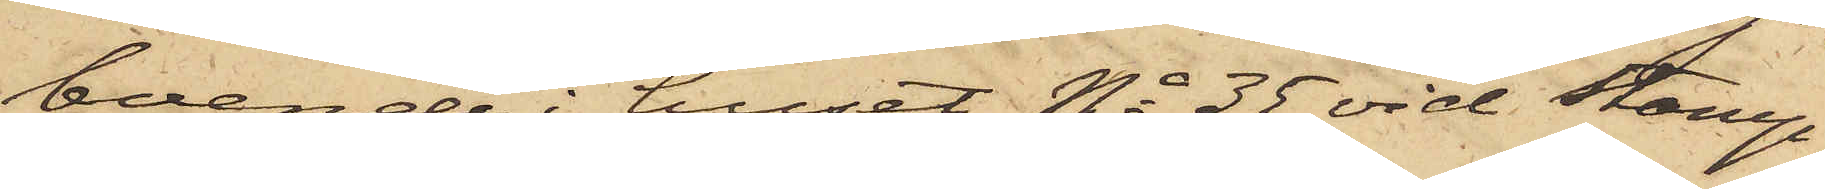boende i huset No 35 vid Stamp¬
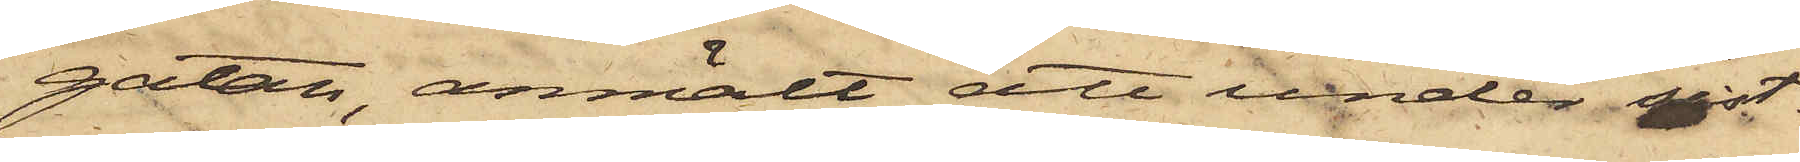gatan, anmält att under sist¬
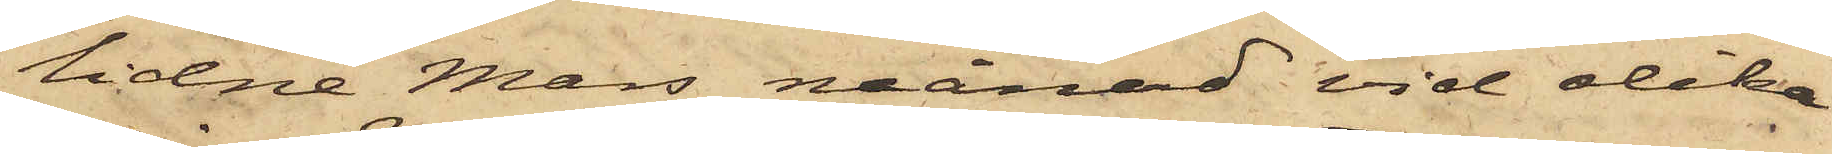lidne Mars månad vid olika
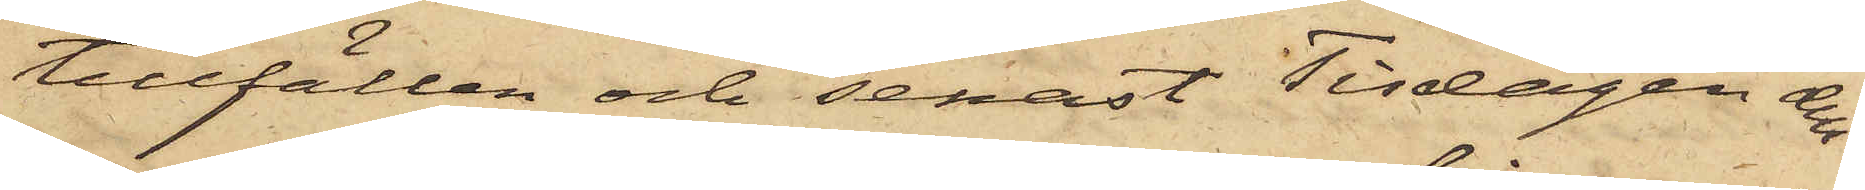tillfällen och senast Tisdagen den
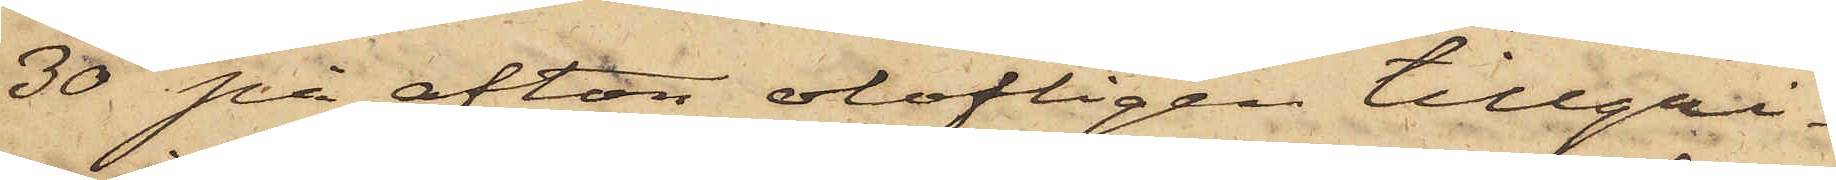30 på afton olofligen tillgri¬
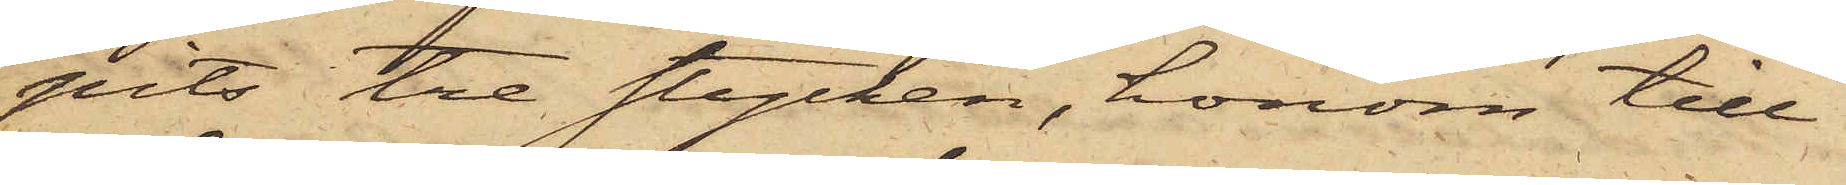pits tre stycken, honom till¬
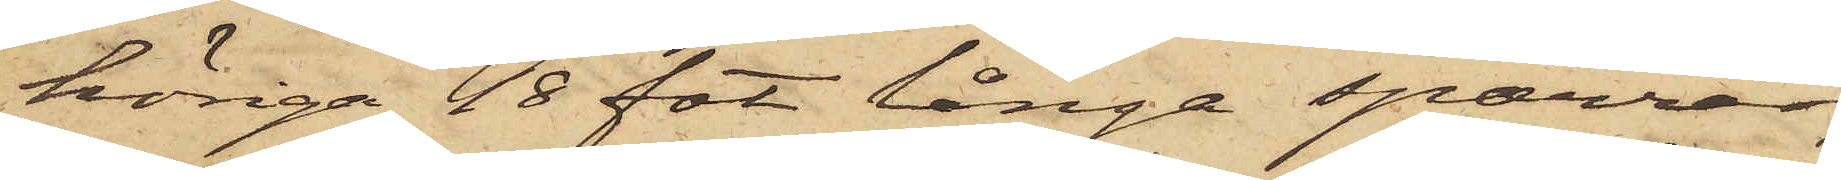höriga 18 fot långa sparrar,
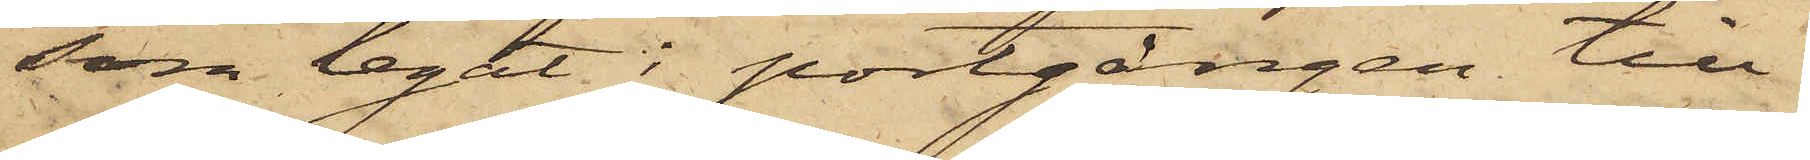som legat i portgången till
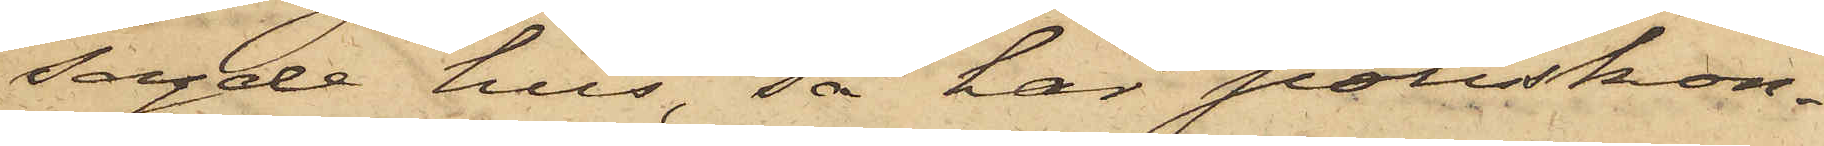sagde hus, så har poliskon¬
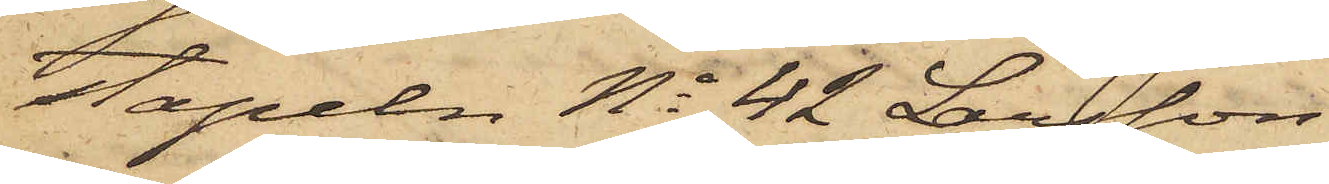stapeln No 42 Larsson
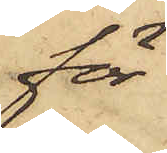för
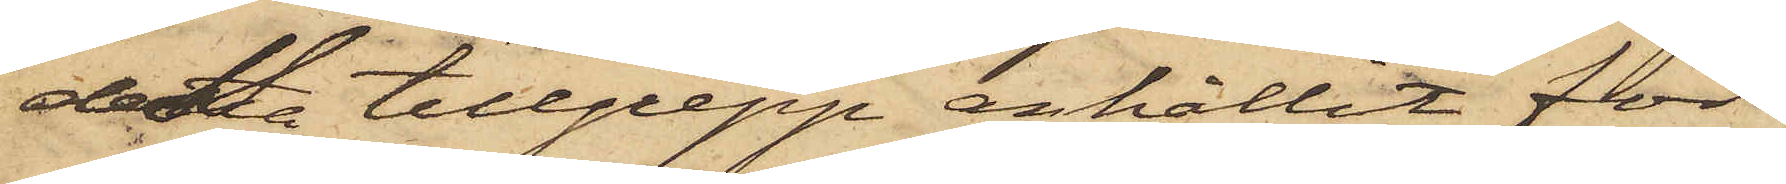detta tillgrepp anhållit för
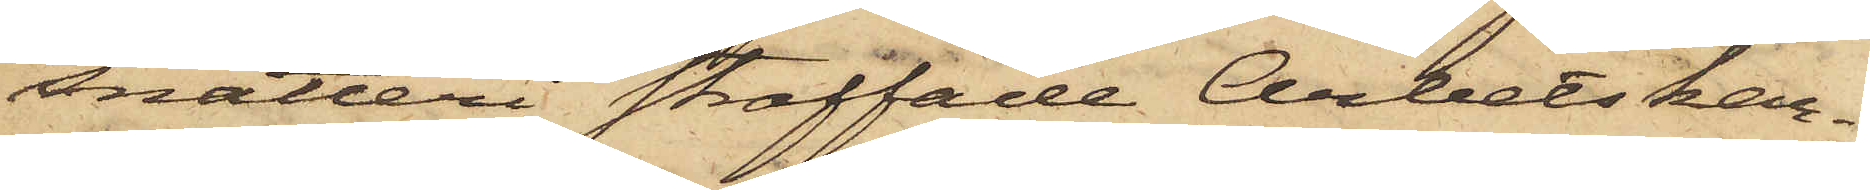snatteri straffade Arbetskar¬
